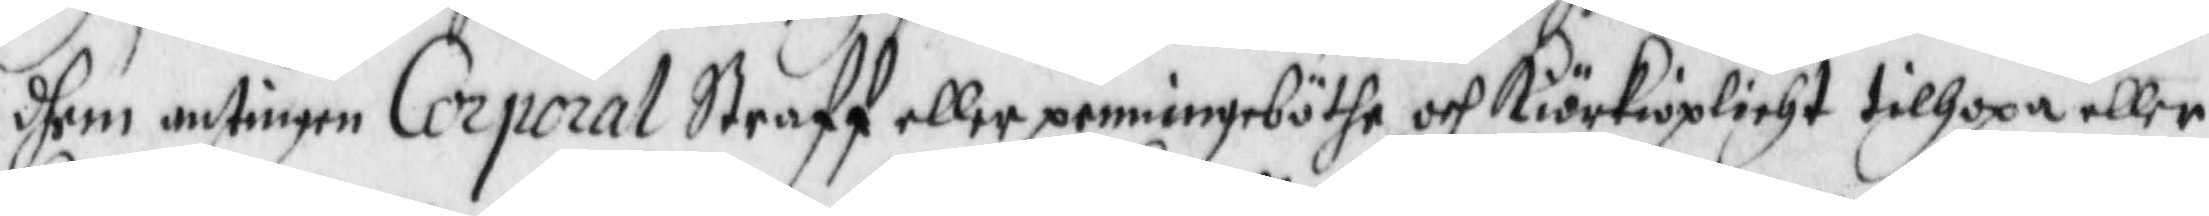dhem antingen Corpral Straff eller penningböthe och Kiörkioplicht tillhopa eller
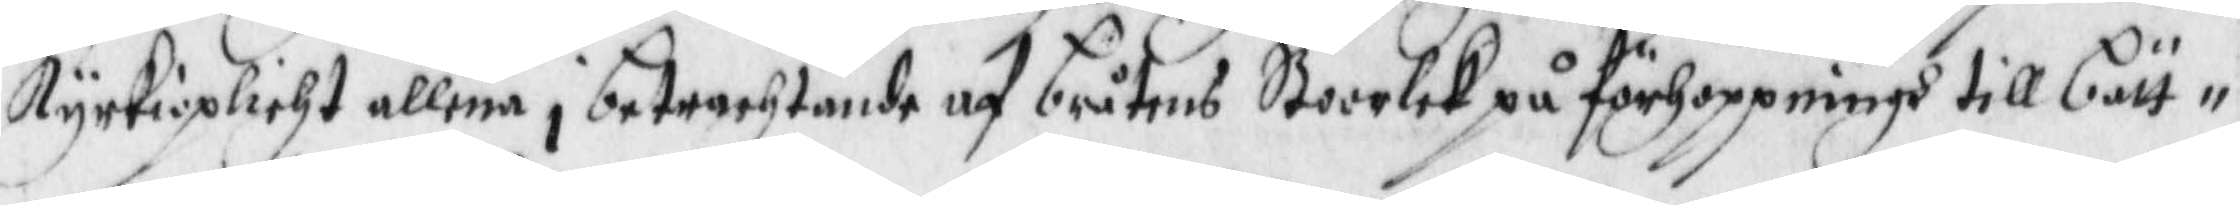Kyrkioplicht allena i betrachtande af bråtens Stoorlek på förhoppningh till bätt¬
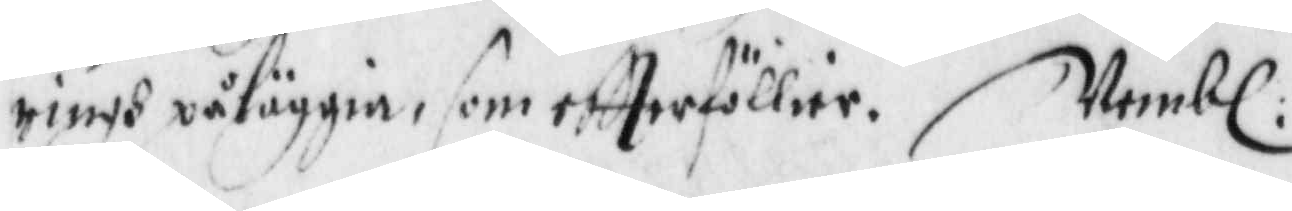ringh påläggia, som eftterföllier. Nembl:
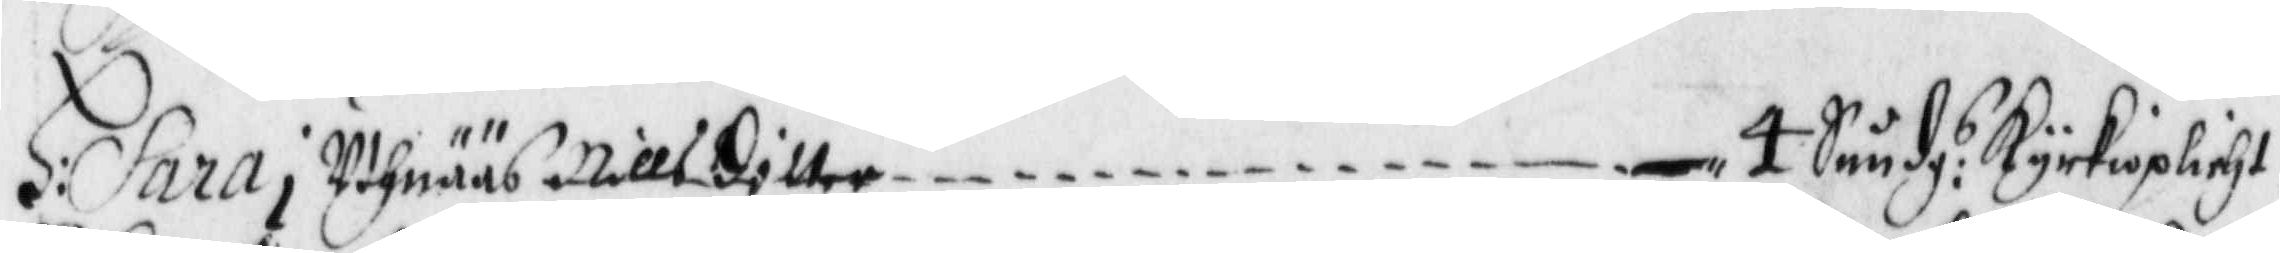H: Sara i Uthnääs Nillsdotter — 4 Sundg:s Kyrkioplicht.
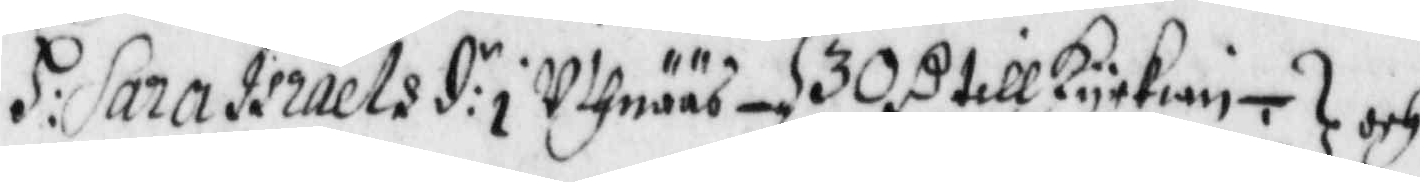H: Sara Israelsd:r i Uthnääs — 30 R till Kyrkian — och
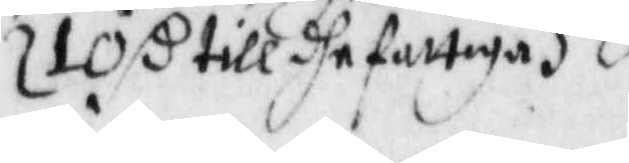10 R till dhe fattiga
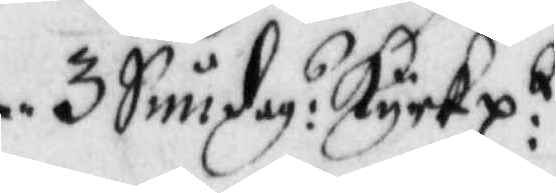3 Sundag:s Kyrkp:t
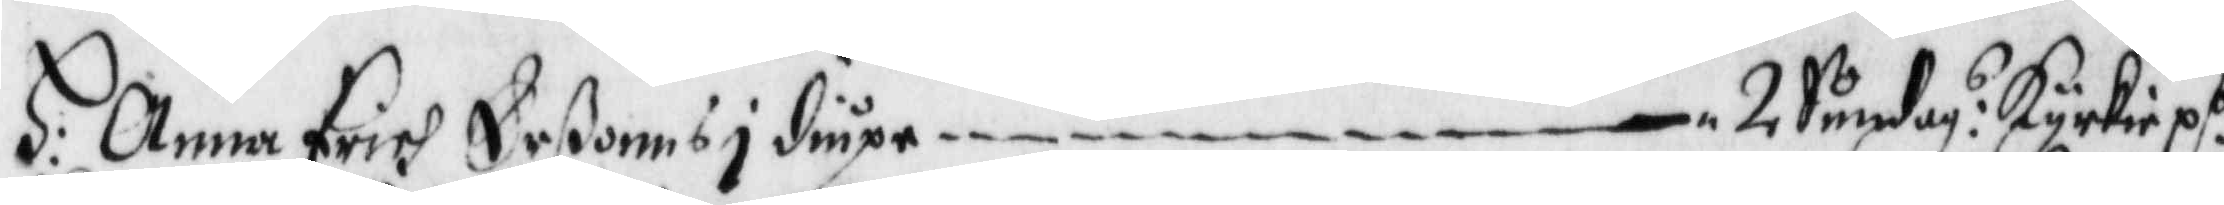H: Anna Erich Erßonns i diupe — 2 Sundag:s Kyrkiep:t
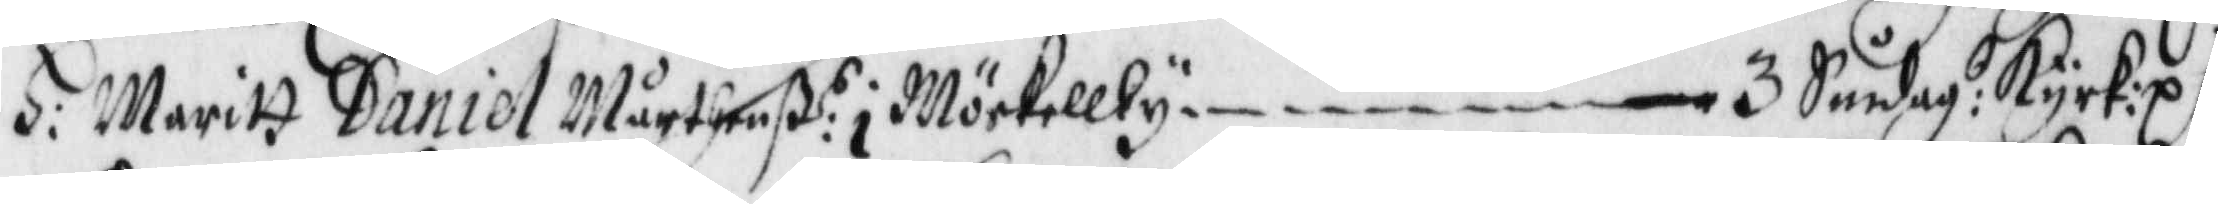H: Maritt Daniel Mårtenß:r i Mörkellby — 3 Sundag:s Kyrk:p:t
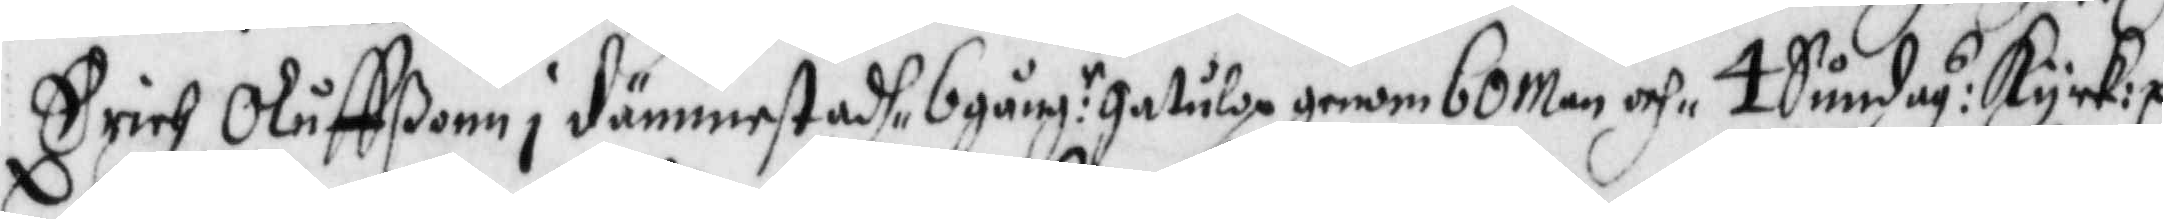Erich Oluffßonn i dämmestadh, 6 gång:r gatulop genom 60 man och 4 Sundag:s Kyrk:p:t
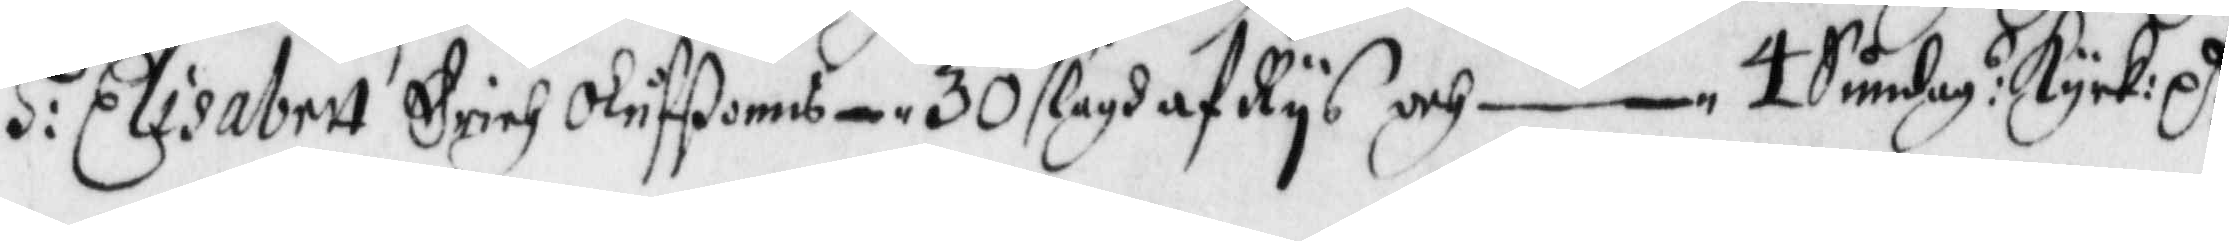H: Elisabett Erich Oluffßons — 30 slagh af Rys och — 4 Sundag:s Kyrk:p:t
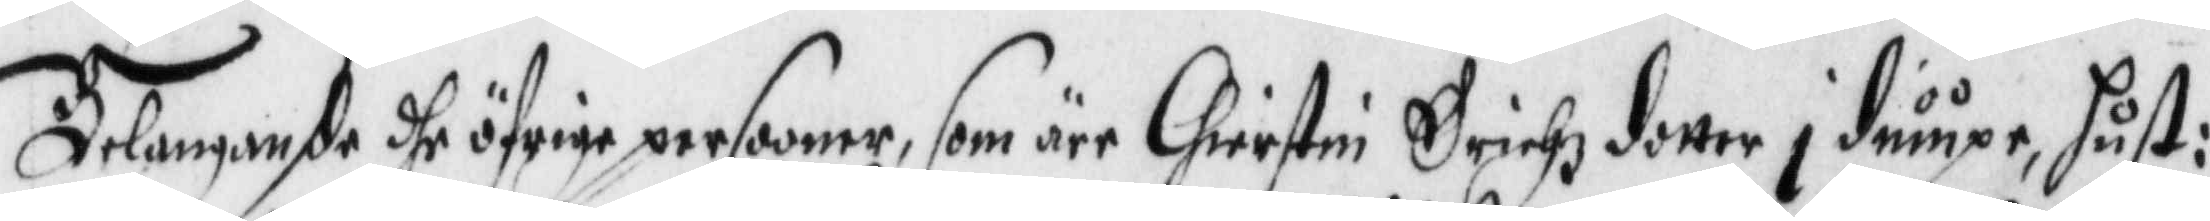Belangande dhe öfrige personer, som äre Chirstin Erichzdotter i diupe, Hust:
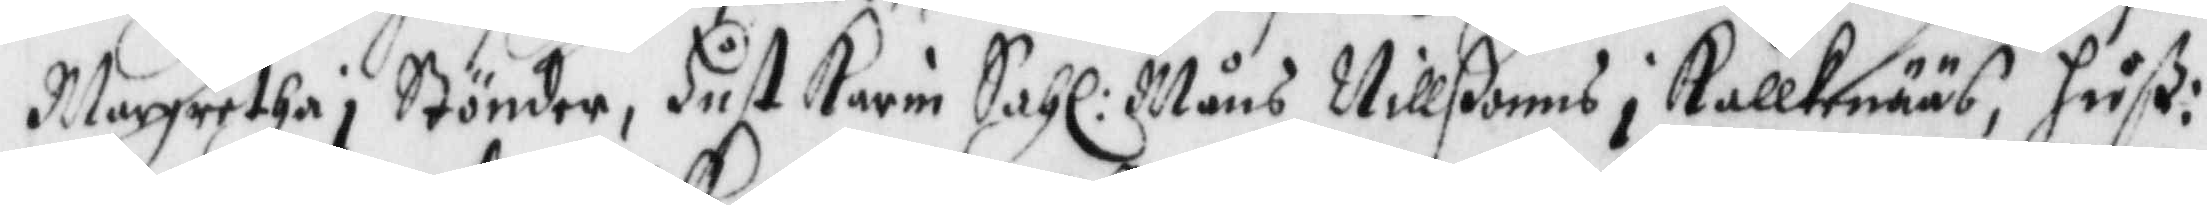Margretha i Stönder, Hust Karin Sahl: Måns Nillßonns i Kallkenääs, Hust:
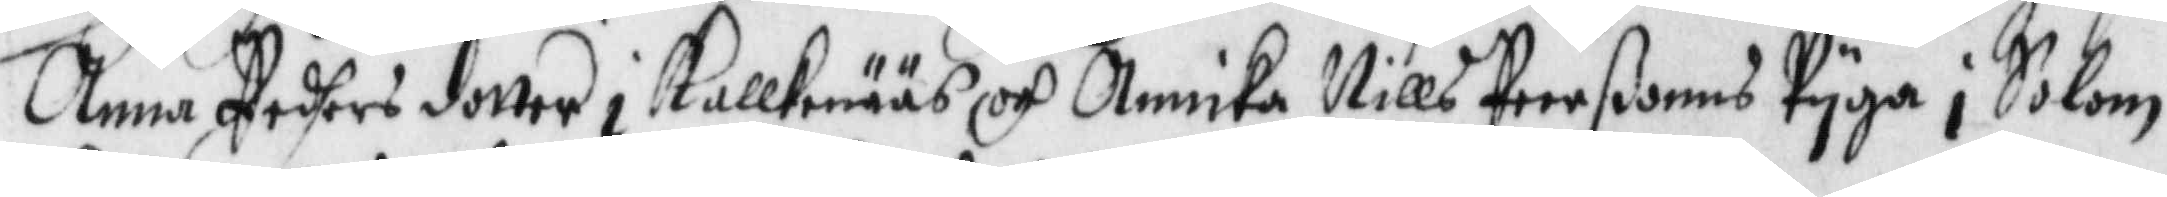Anna Peders dotter i Kallkenääs och Annika Nills Peerßonns Pyga i Solom
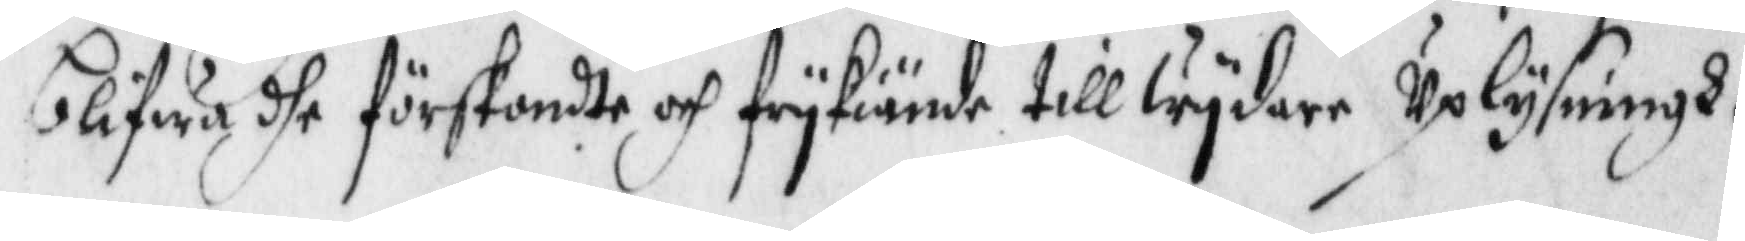blifwer dhe förskondte och frykiände till wydare Uplysningh.
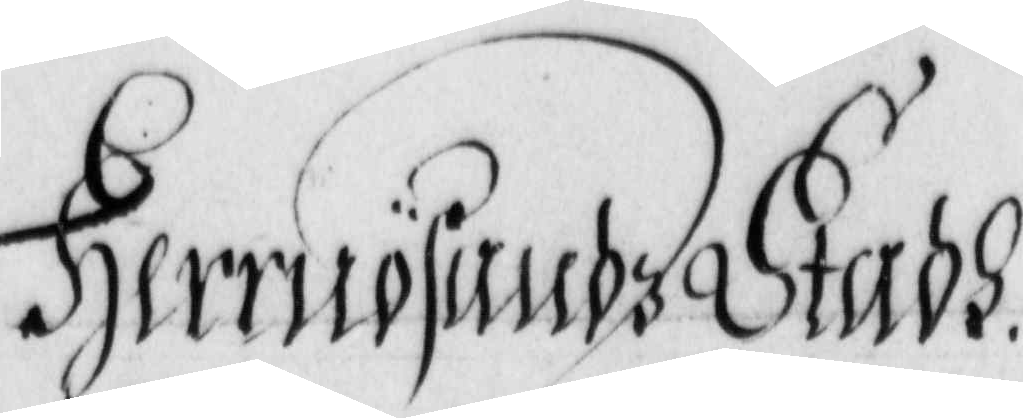Herrnösandz Stadh.
